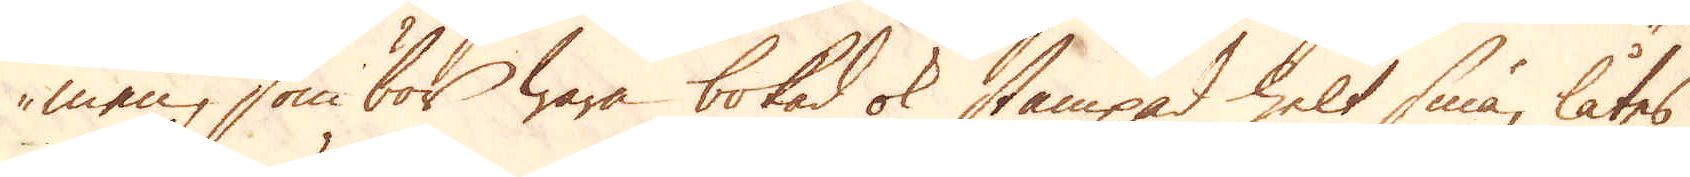men, som bör wara bokad ok stämpad helt små, låtes
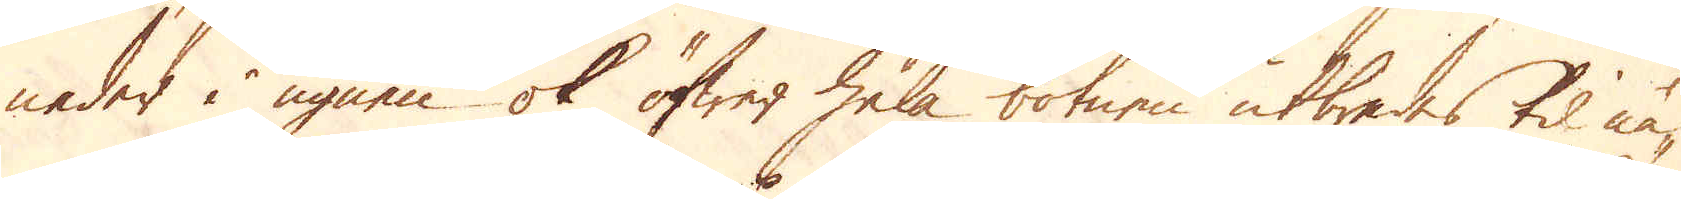neder i ugnen ok öfwer hela botnen utbredes til nå-
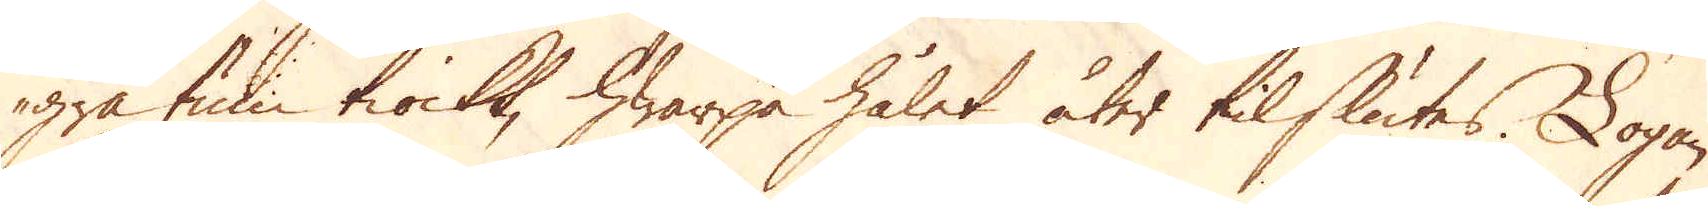gra tum tiockt, hwarpå hålet åter tilslutes. Logan
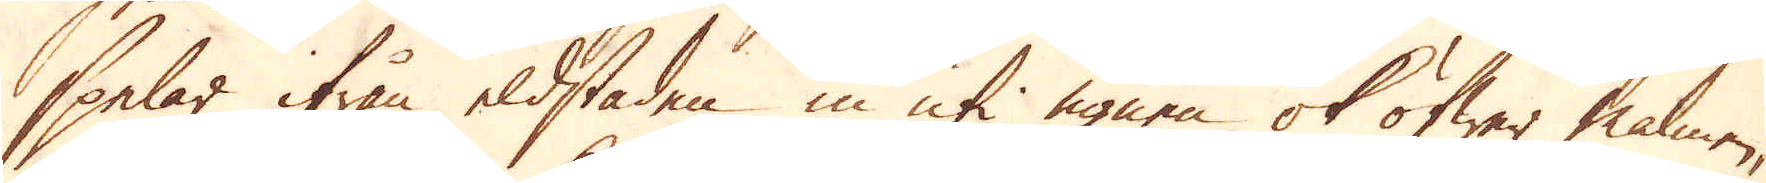spelar ifrån eldstaden in uti ugnen ok öfwer malmen,
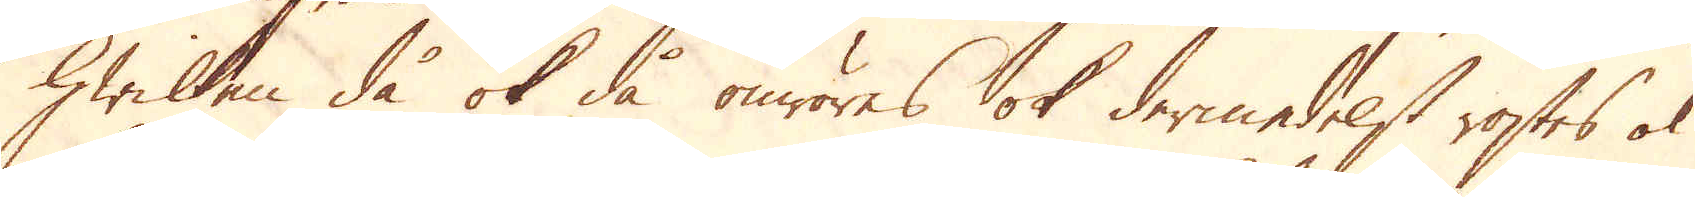hwilken då ok då omröres ok dermedelst rostes ok
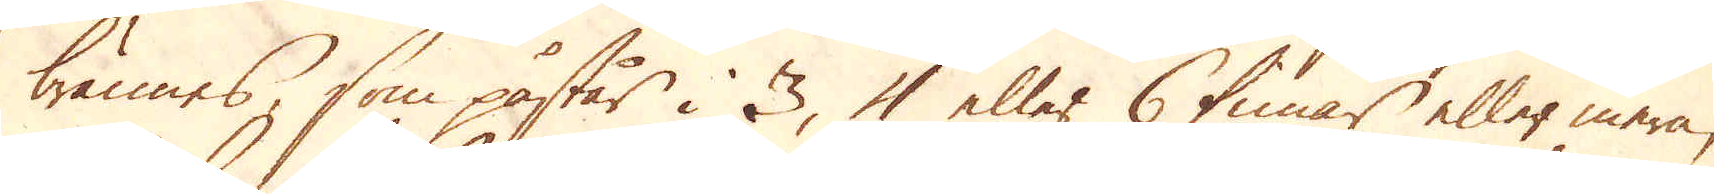brännes, som påstår i 3, 4 eller 6 timar eller mera,
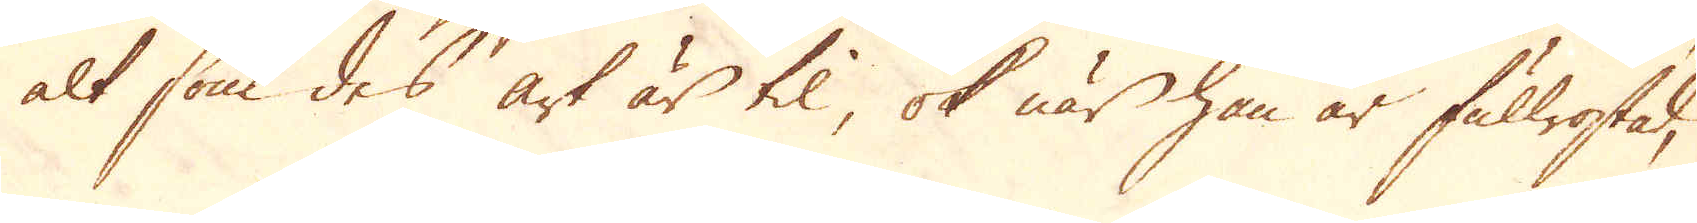alt som des art är til, ok när han är fullrostad,
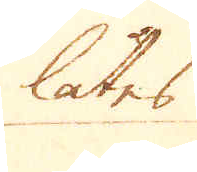låtes
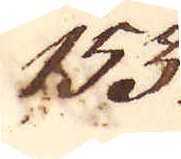153.
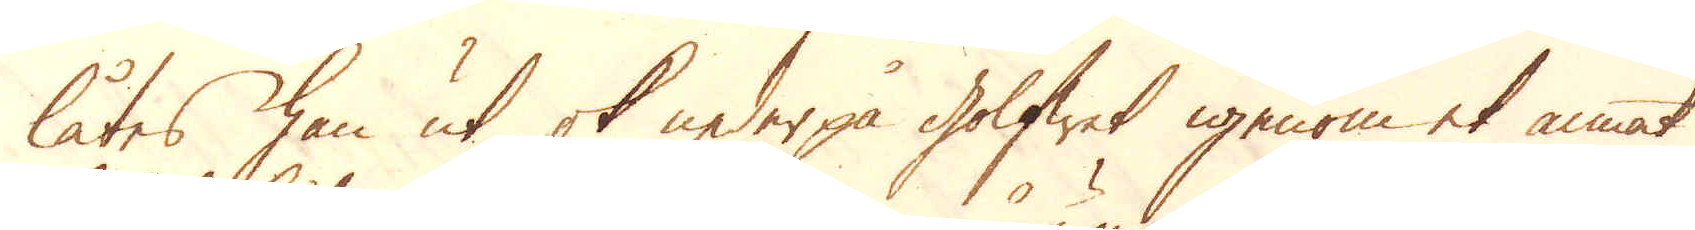låtes han ut ok nederpå golfwet igenom et annat
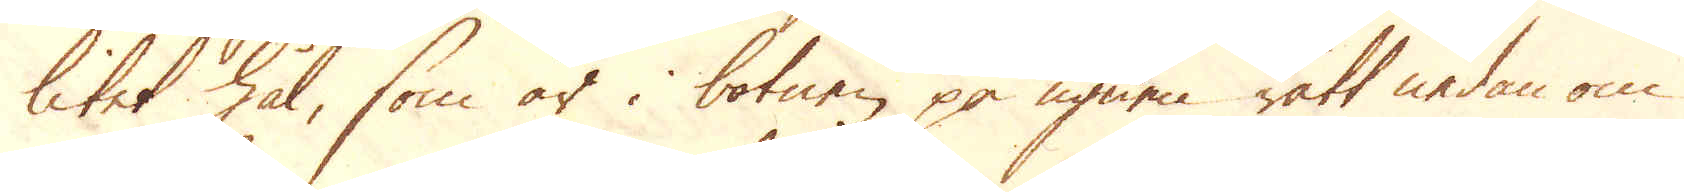litet hål, som är i botnen på ugnen rätt nedan om
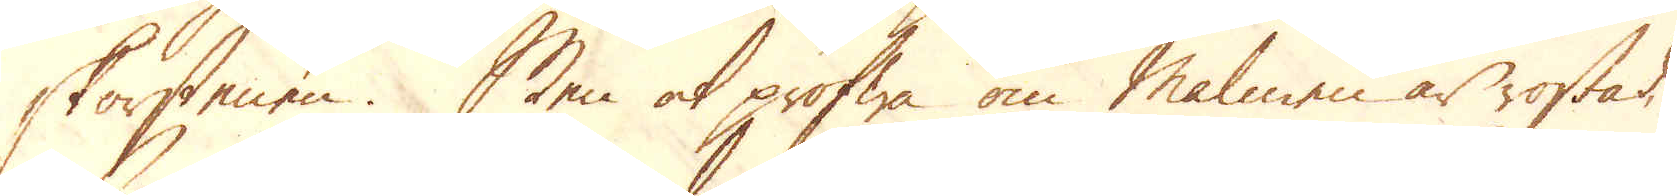skorstenen. Men at pröfwa om Malmen är rostad,
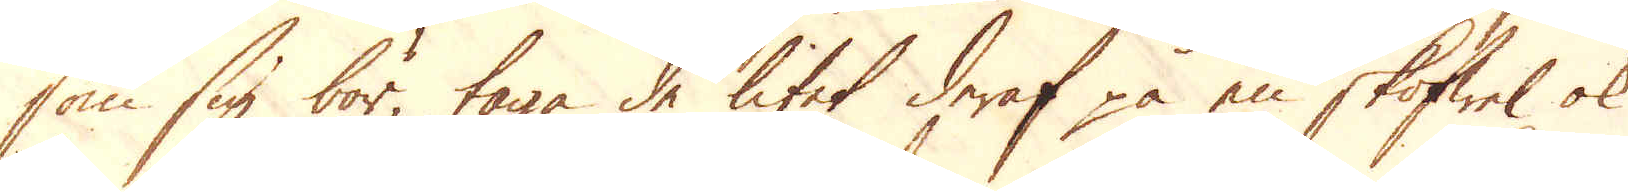som sig bör, taga de litet deraf på en skoffel ok
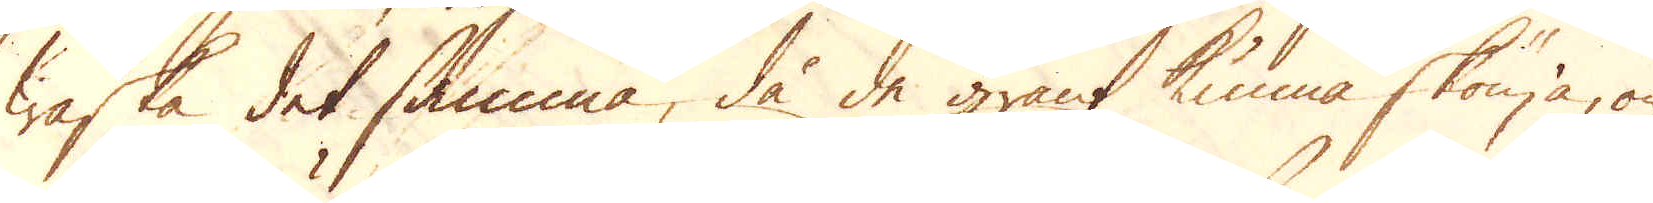waska det samma, då de grant kunna skönja, om
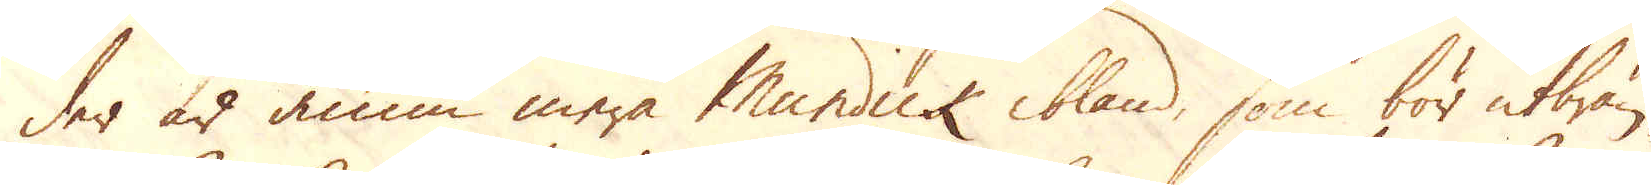der är ännu mera Mundick ibland, som bör utbrän-
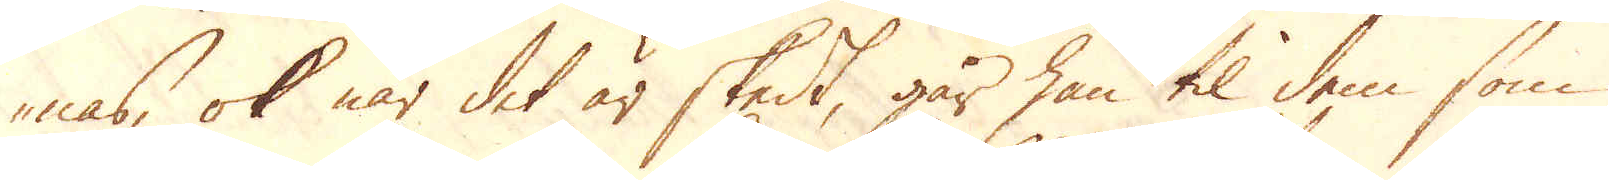nas, ok när det är skedt, går han til dem som
